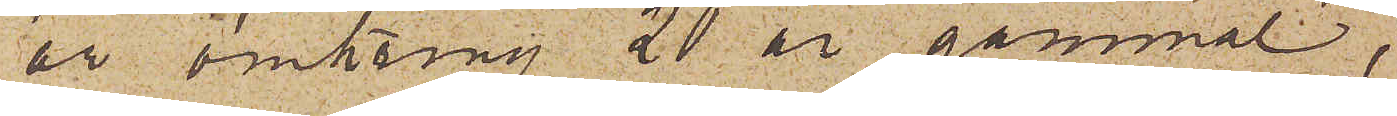är omkring 20 år gammal,
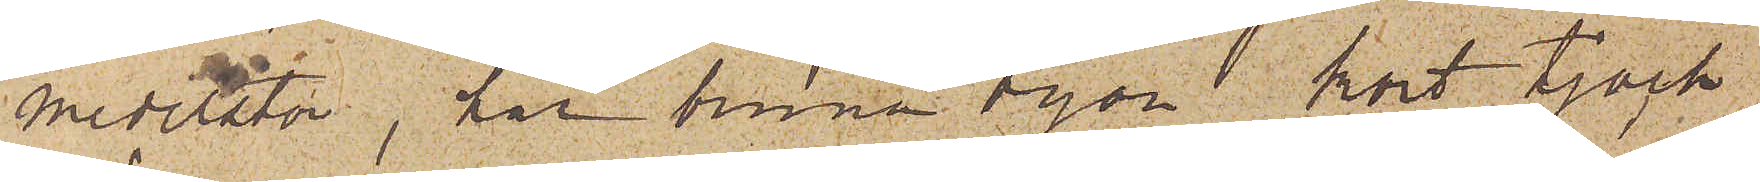medelstor, har bruna ögon kort tjock
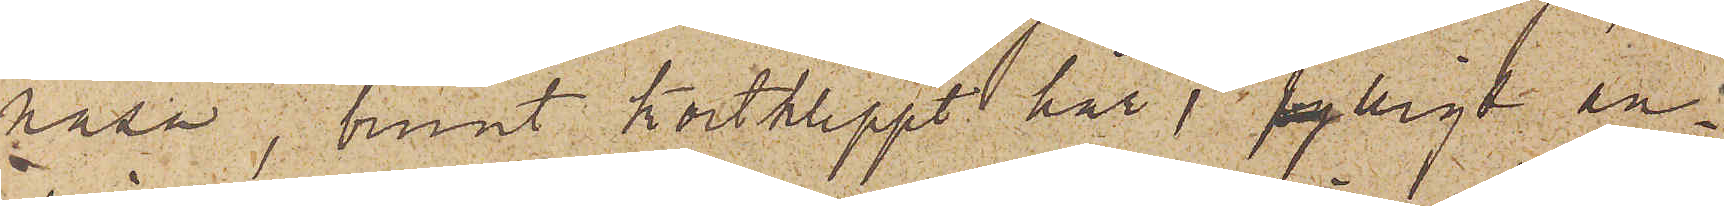näsa, tunnt kortklippt hår, fylligt an¬
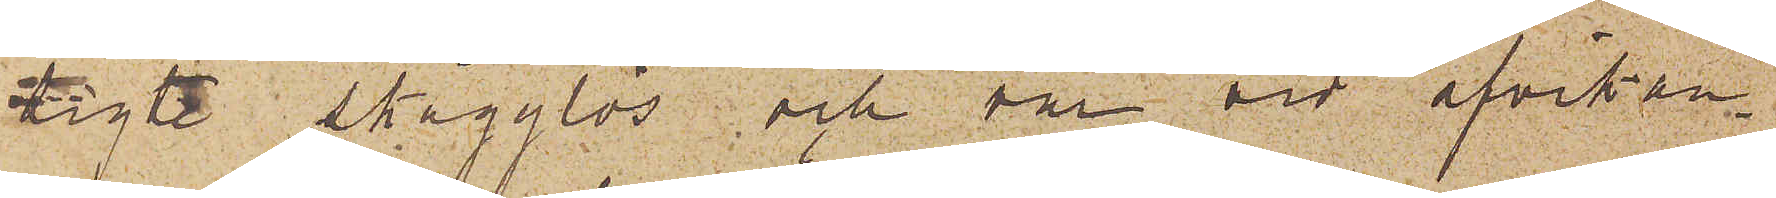sigte skägglös och var vid afvikan¬
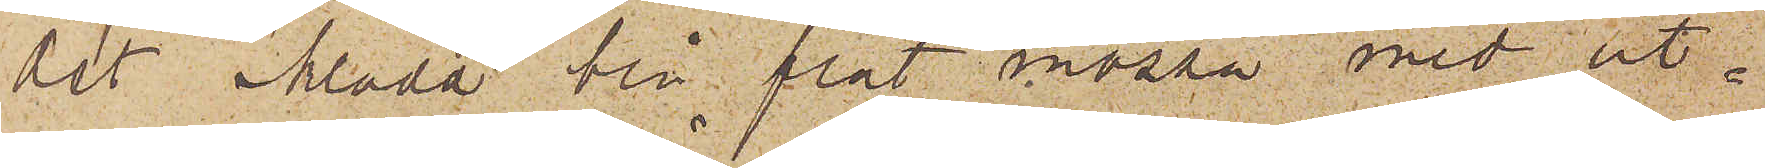det iklädd blå flat mössa med ut¬
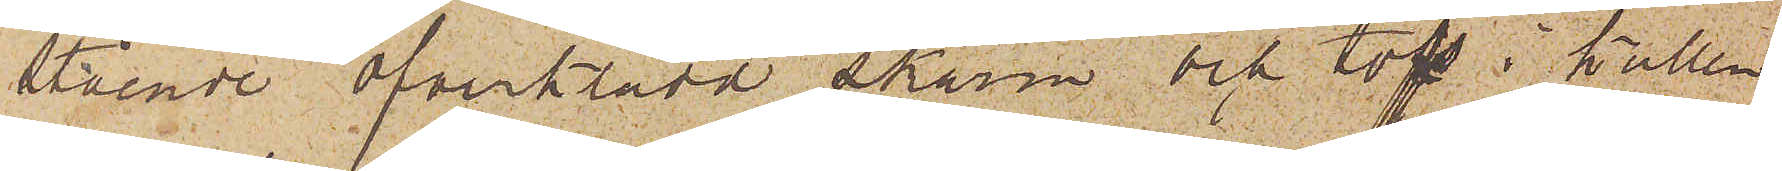stående öfverklädd skärm och tofs i kullen,
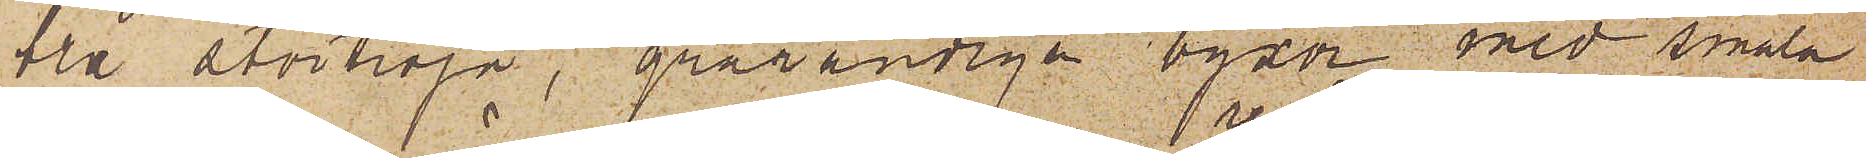blå stortröja, grårandiga byxor med smala
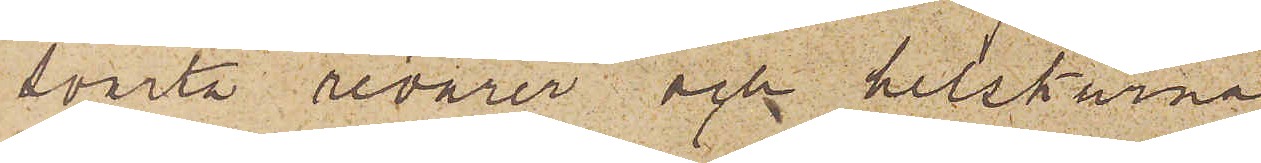svarta revärer och helskurna
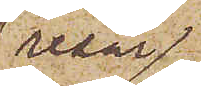resår¬
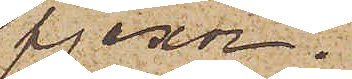pjexor.
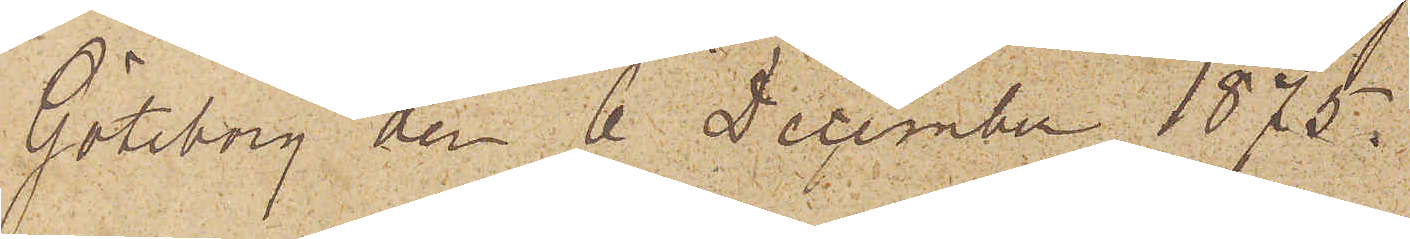Göteborg den 6 December 1875.
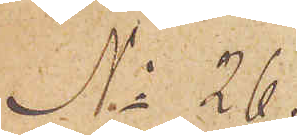No 26.
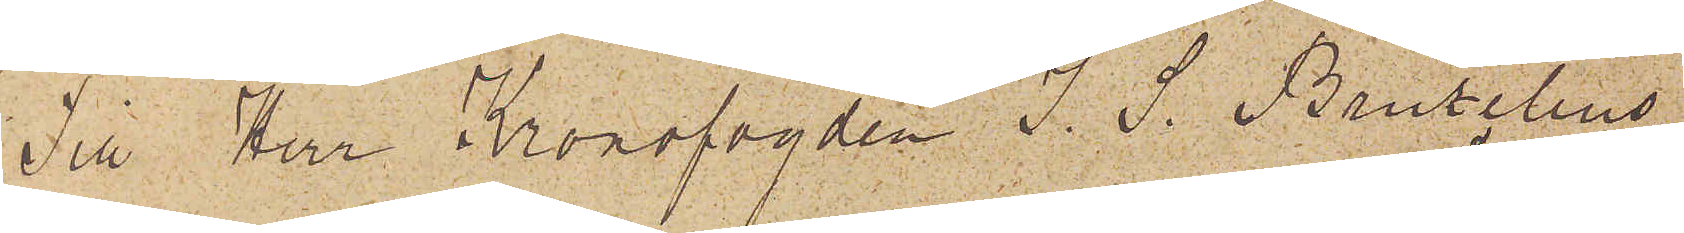Till Herr Kronofogden J. S. Bruzelius
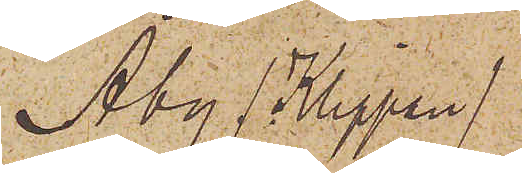Åby (Klippan)
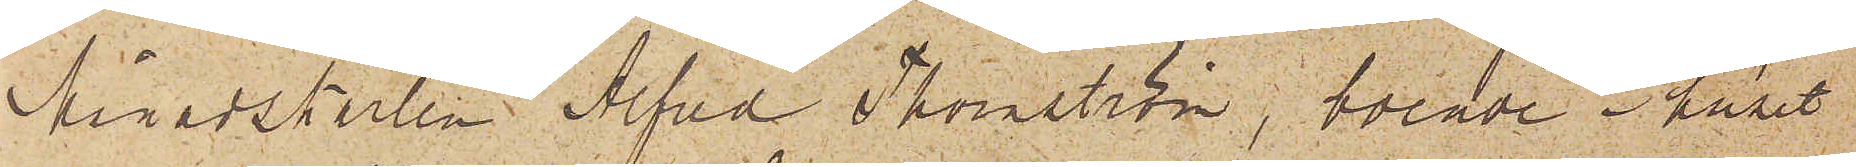Månadskarlen Alfred Thornström, boende i huset
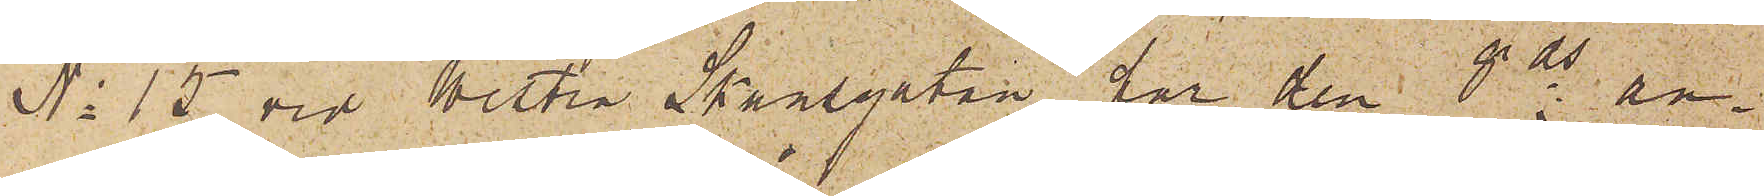No 15 vid Westra Skansgatan har den 8 ds an¬
